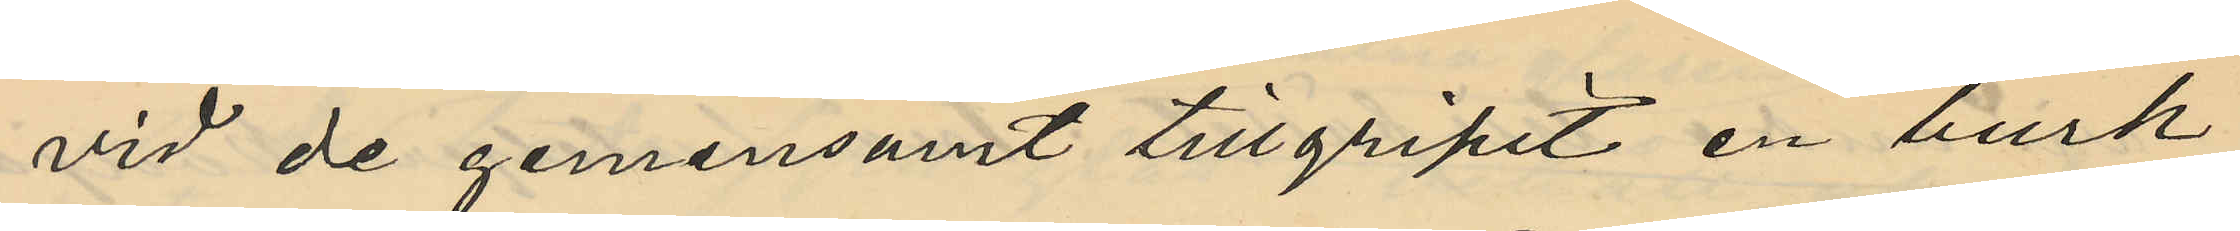vid de gemensamt tillgripit en burk
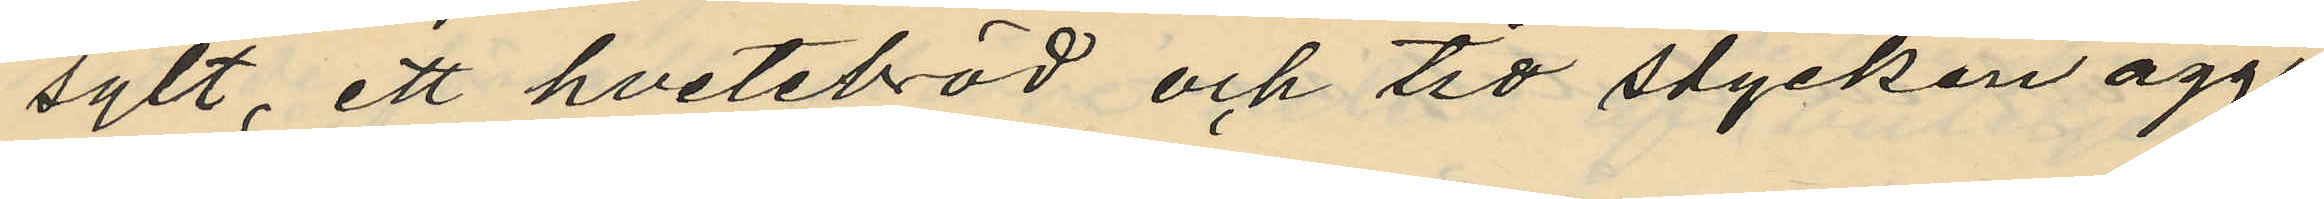sylt, ett hvetebröd och tio stycken ägg
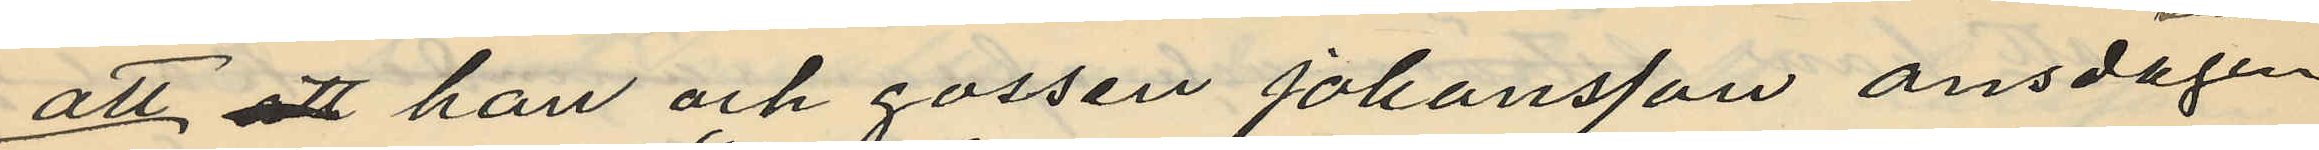att att han och gossen Johansson onsdagen
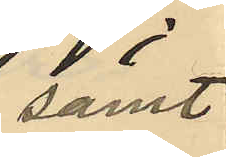samt
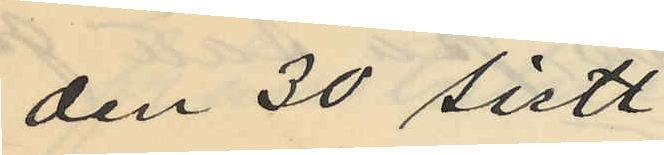den 30 sistl.
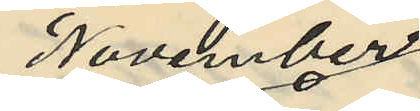November
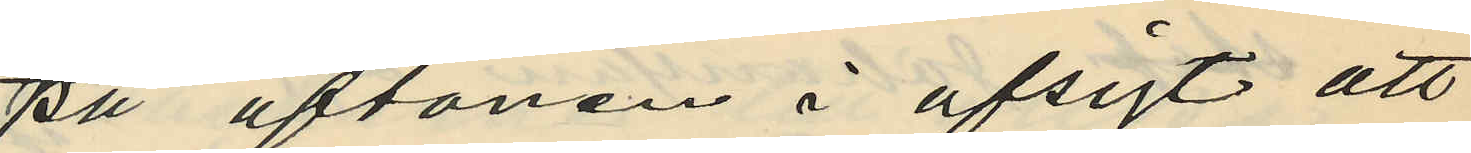på aftonen i afsigt att
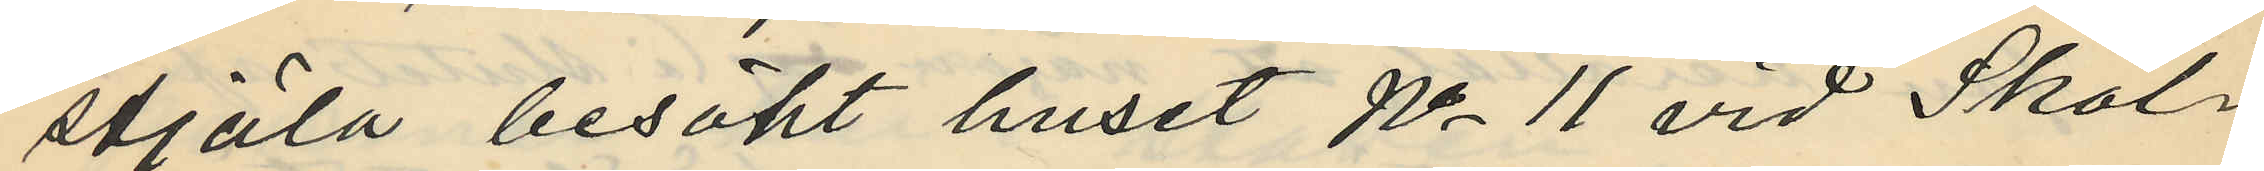stjäla besökt huset No 11 vid Skol¬
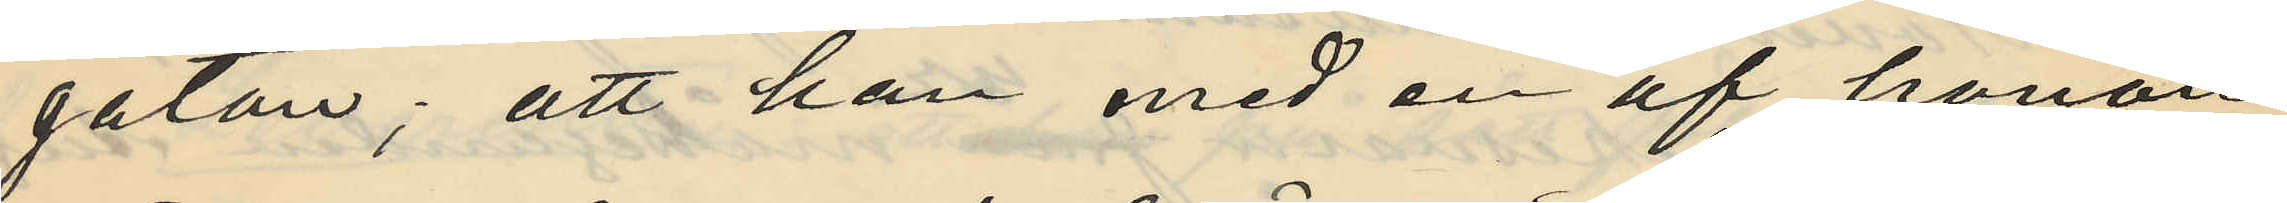gatan; att han med en af honom
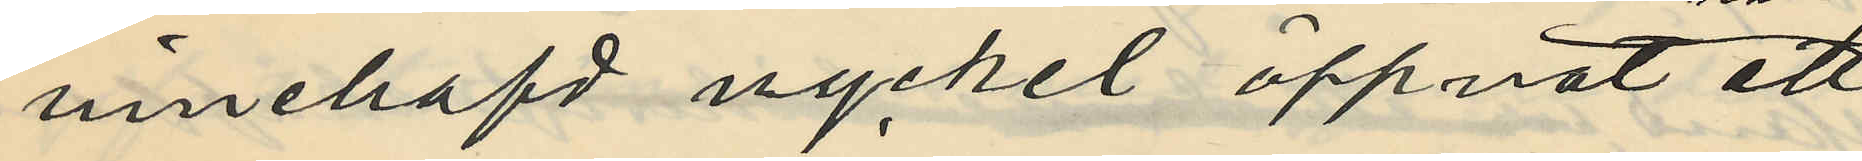innehafd nyckel öppnat ett
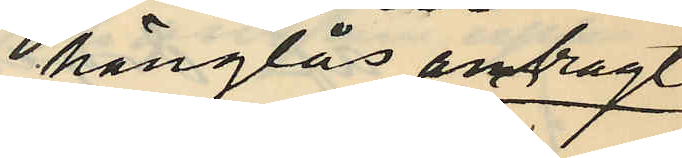hänglås anbragt
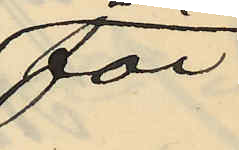för
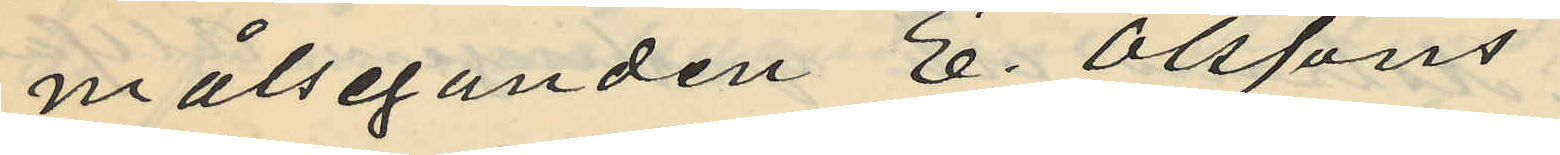målseganden E. Olssons
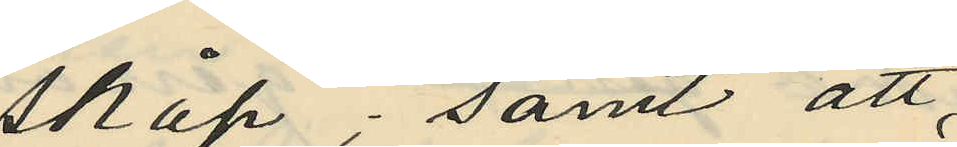skåp; samt att
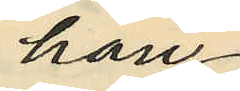han
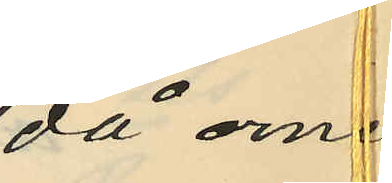då ome¬
